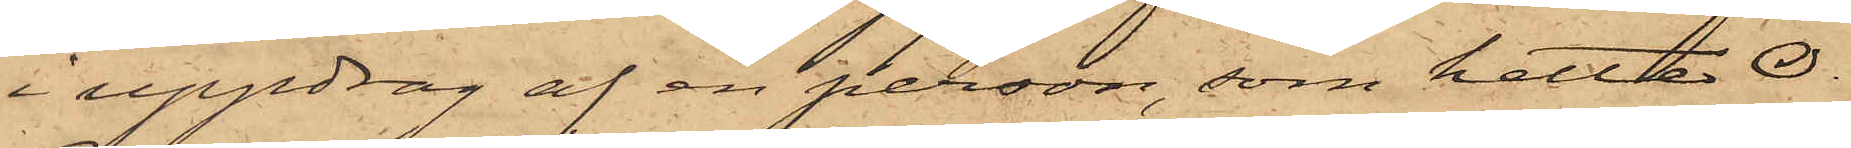i uppdrag af en person, som hette O.
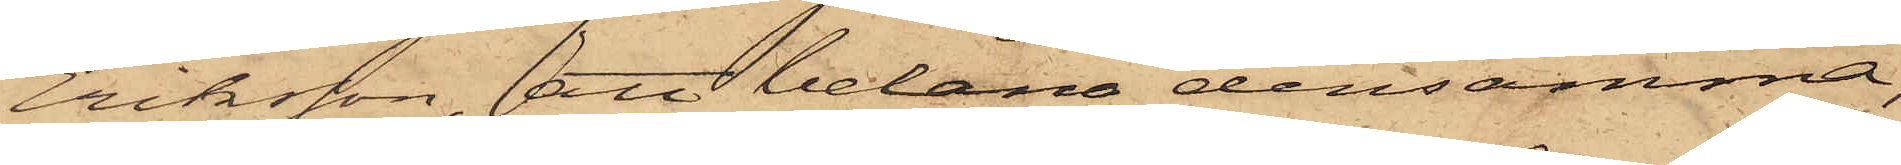Eriksson, att belåna densamma,
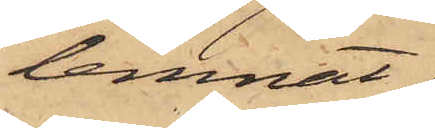lemnat
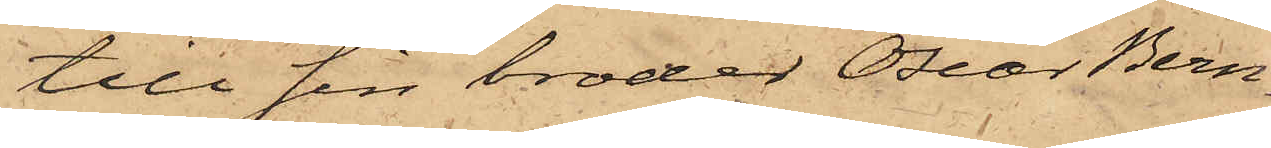till sin broder Oscar Bern¬
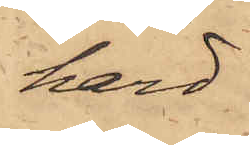hard
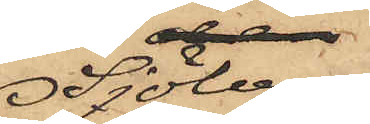Sjöberg,
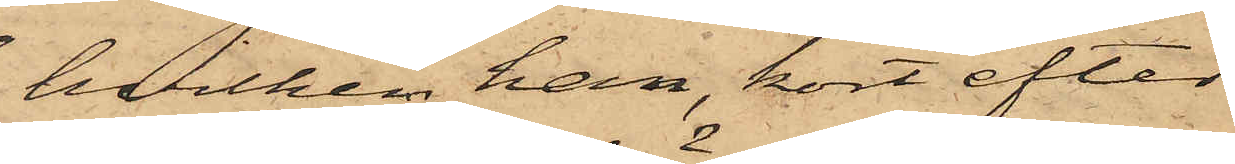hvilken han kort efter
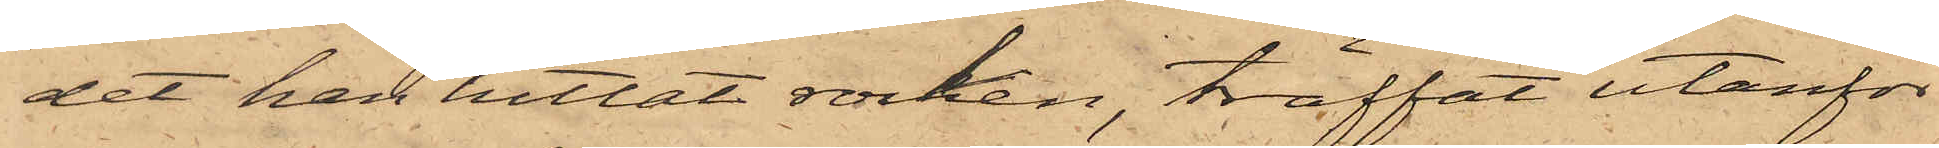det han hittat rocken, träffat utanför
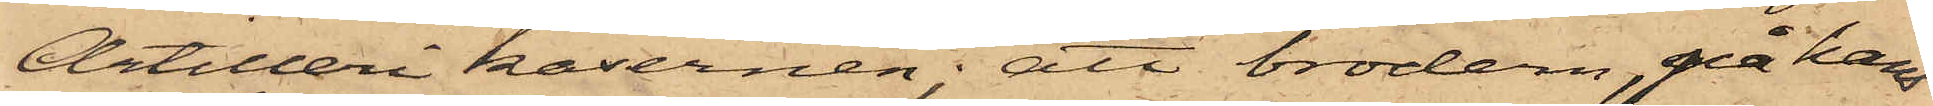Artilleri kasernen; att brodern, på hans
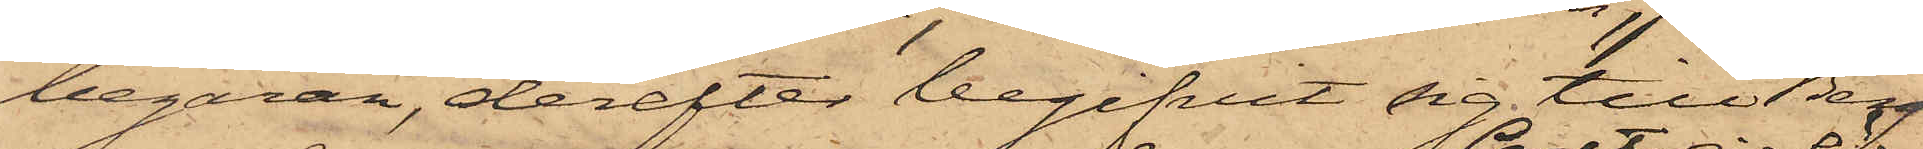begäran, derefter begifvit sig till Berg
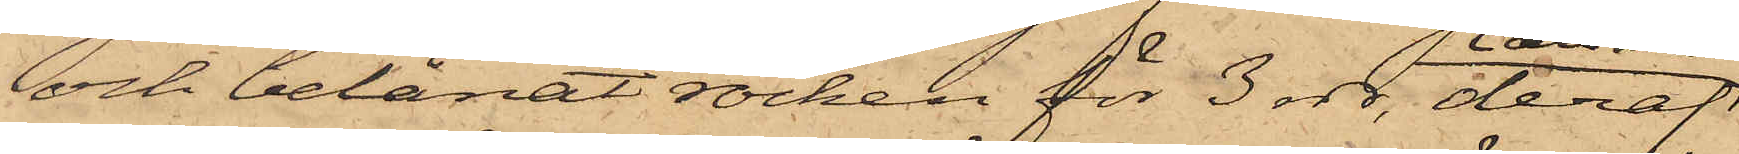och belånat rocken för 3 rdr, deraf
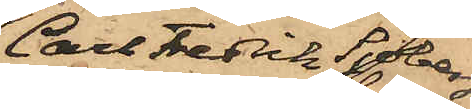Carl Fredrik Sjöberg
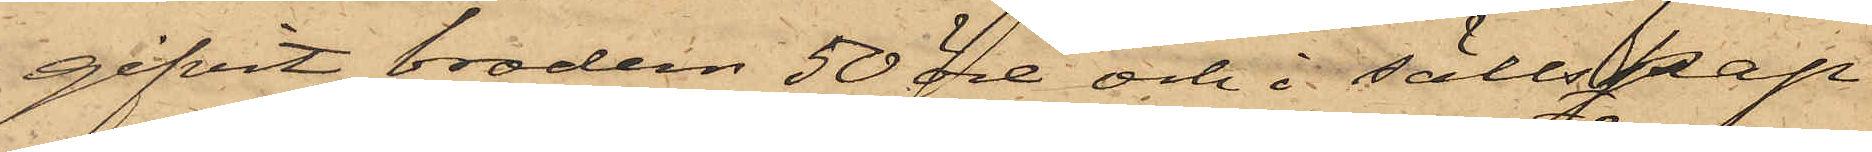gifvit brodern 50 öre och i sällskap
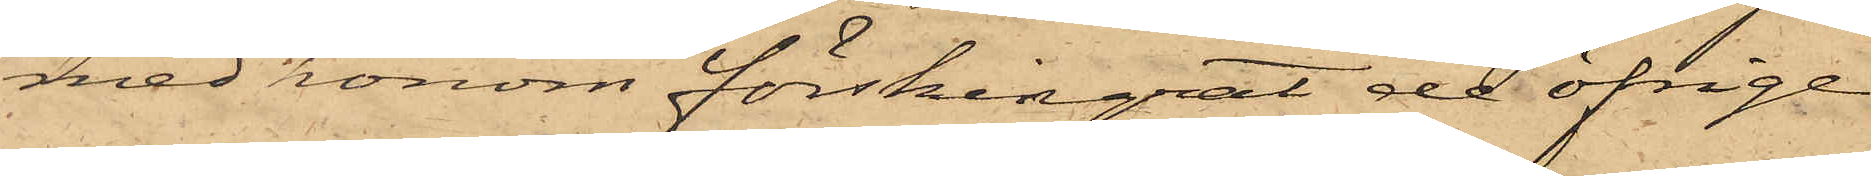med honom förskingat de öfrige
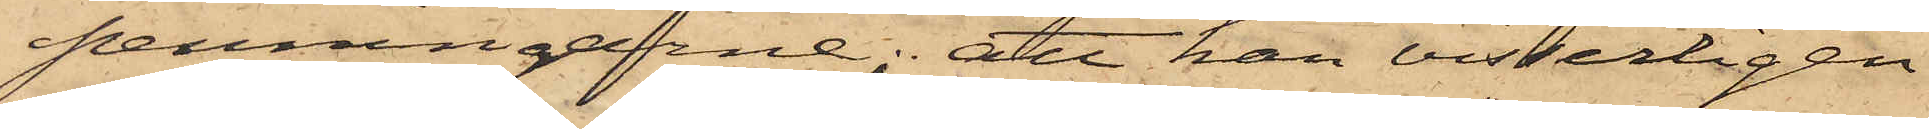penningarne; att han visserligen
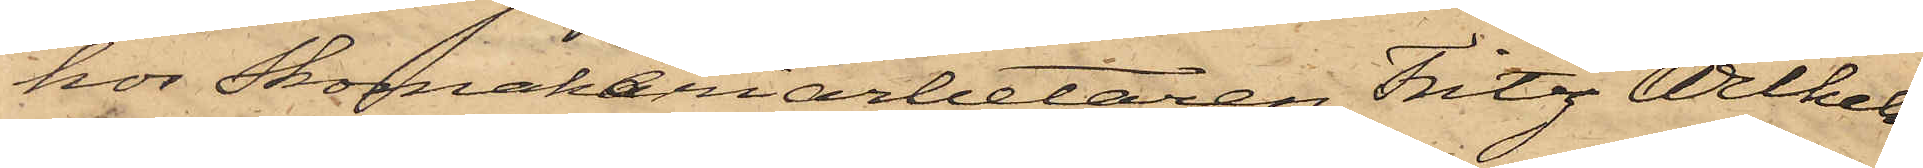hos Skomakeriarbetaren Fritz Wilhelm
